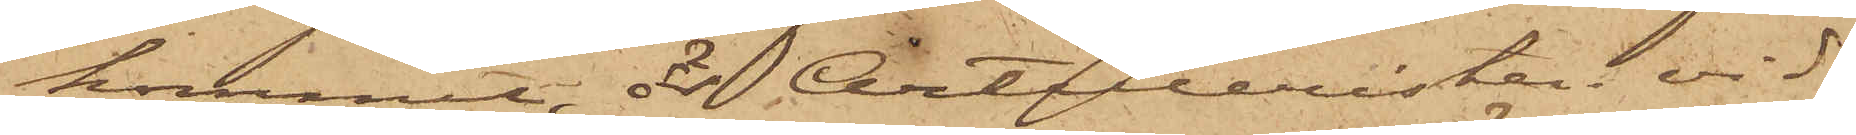kommit, är Artilleristen vid
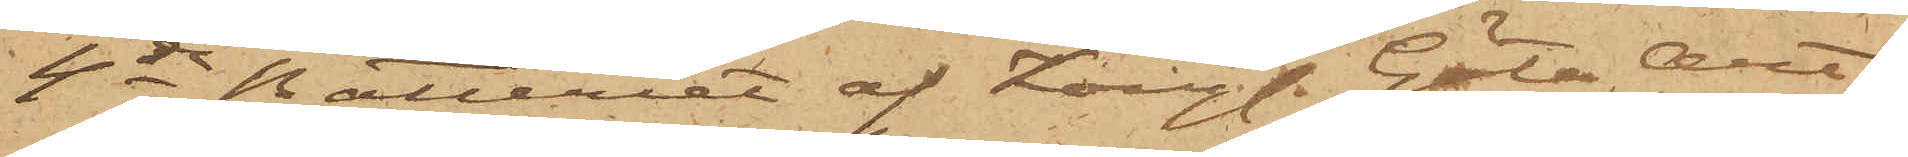4de Batteriet af Kongl. Göta Art.
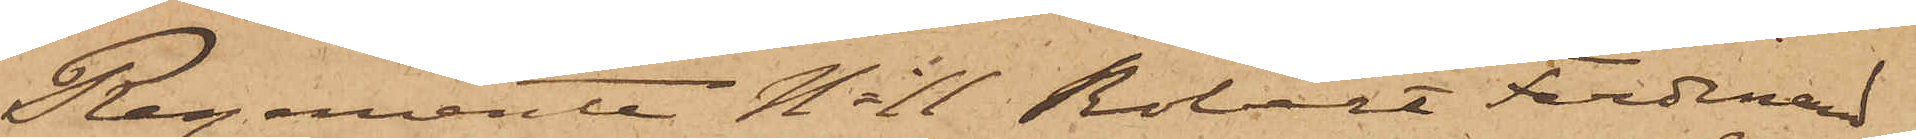Regemente No 11 Robert Ferdinand
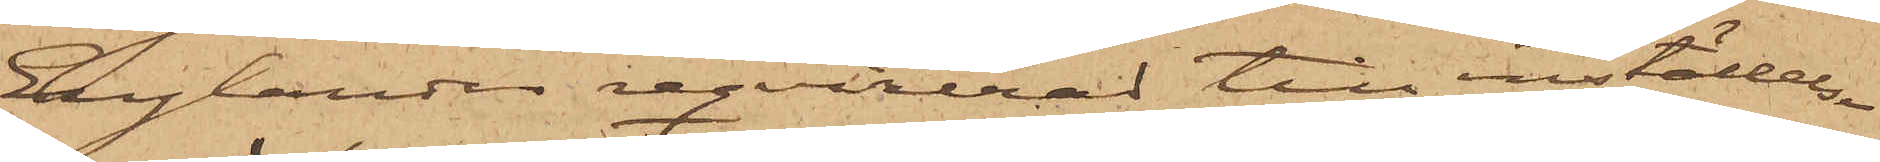Englander reqvirerad till inställelse
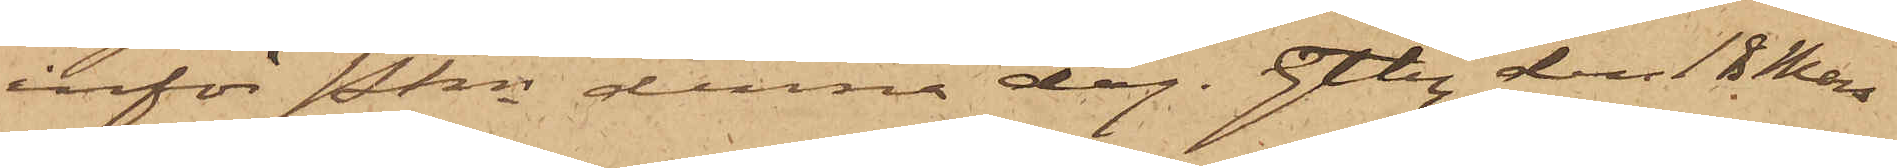inför Pkn denna dag. Gtbg den 18 Mars
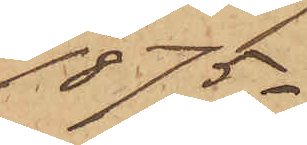1875.
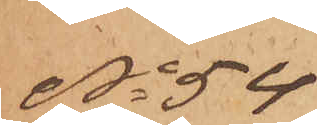No 54
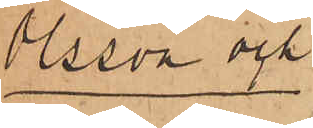Olsson och
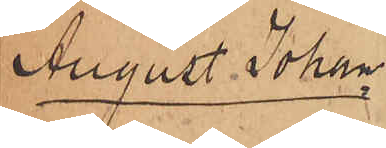August Johan¬
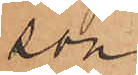son
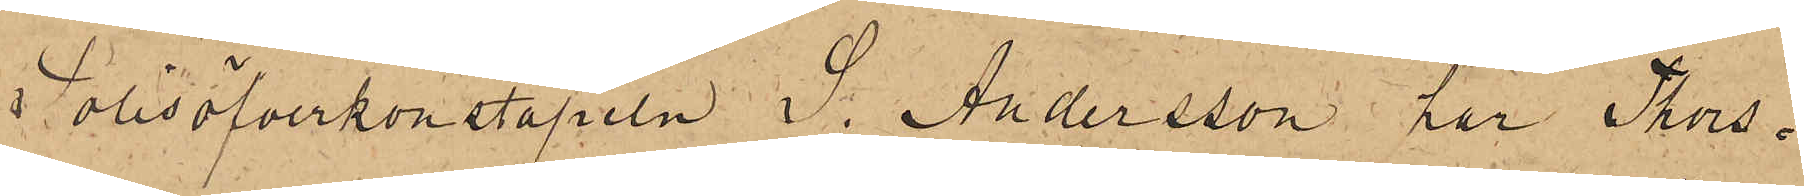Polisöfverkonstapeln J. Andersson har Thors¬
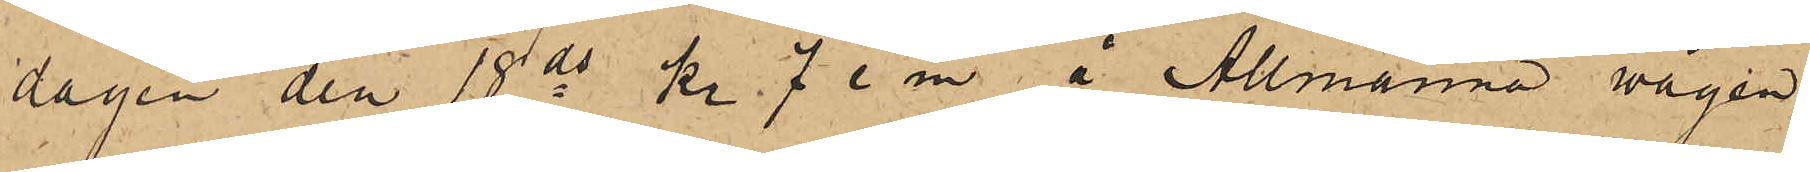dagen den 18 ds kl. 7 e m å Allmänna wägen
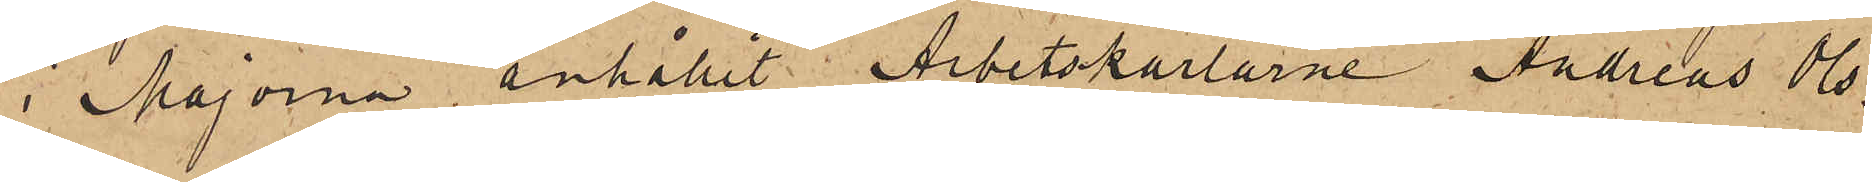i Majorna, anhållit Arbetskarlarne Andreas Ols¬
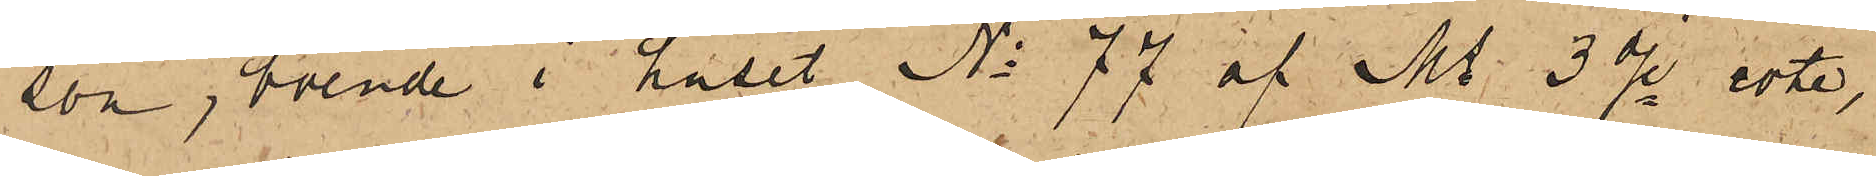son, boende i huset No 77 af Ms 3dje rote,
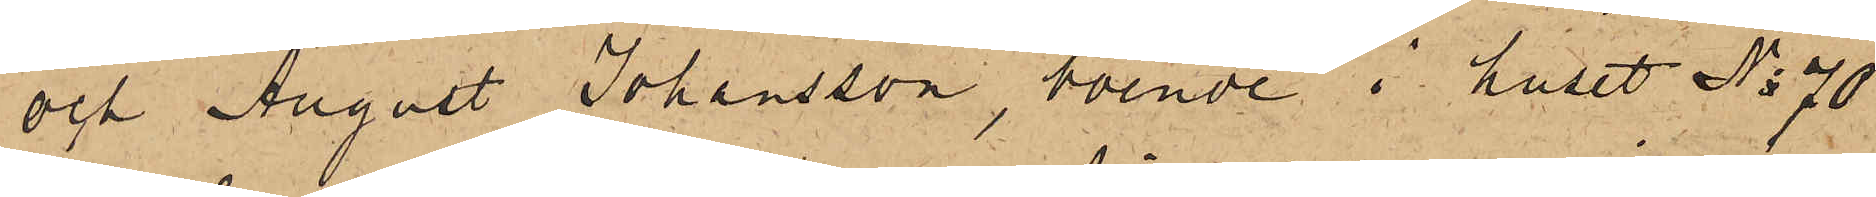och August Johansson, boende i huset No 70
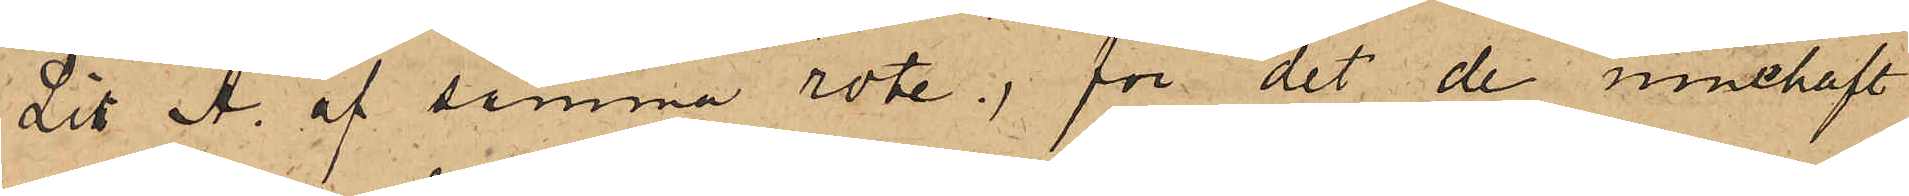Litt A. af samma rote, för det de innehaft
